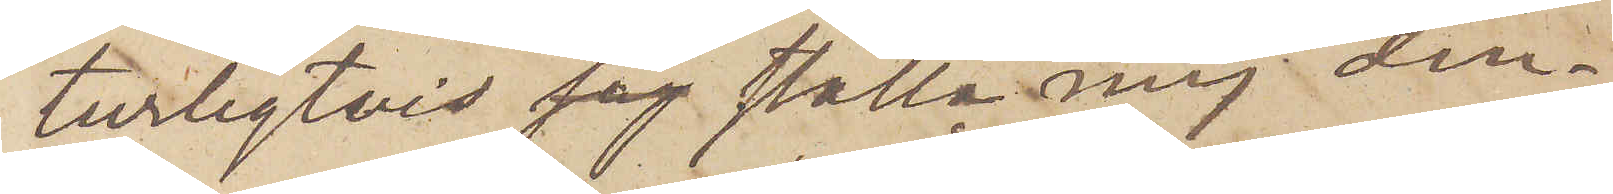turligtvis  ställa mig den¬
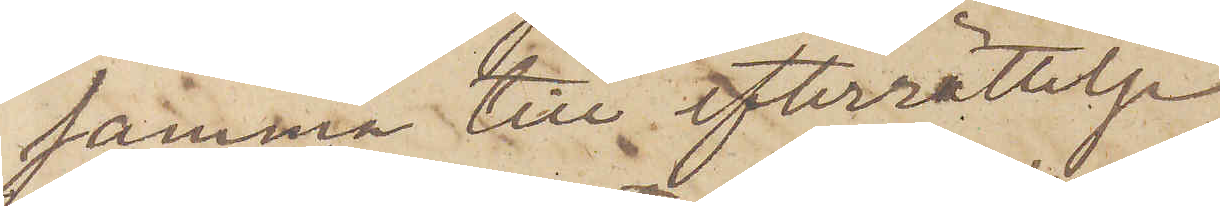samma till efterrättelse.
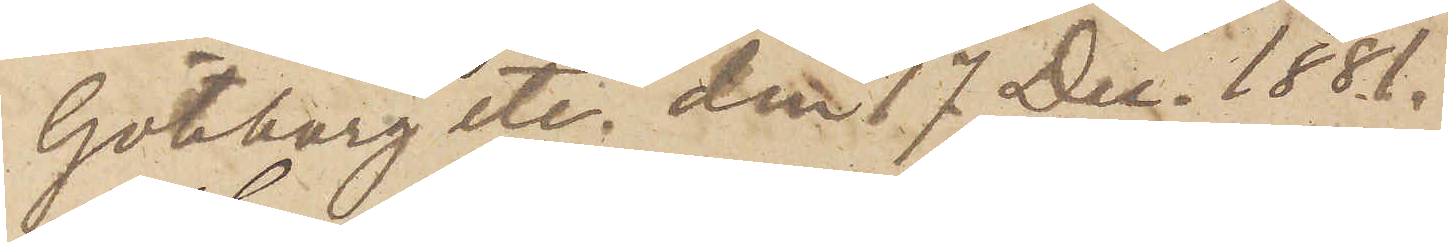Göteborg etc. den 17 Dec. 1881.
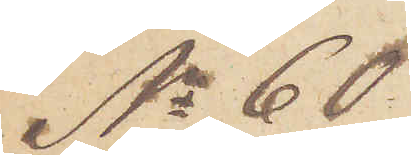No 60
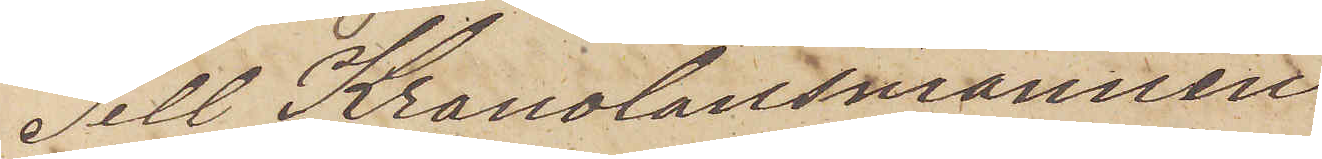Till Kronolänsmannen
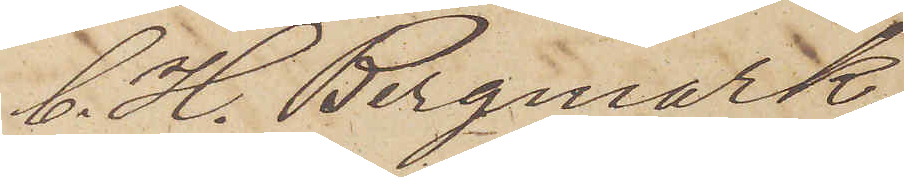C. H. Bergmark
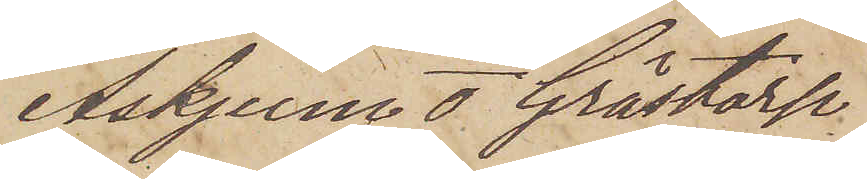Askjum o  Grästorp
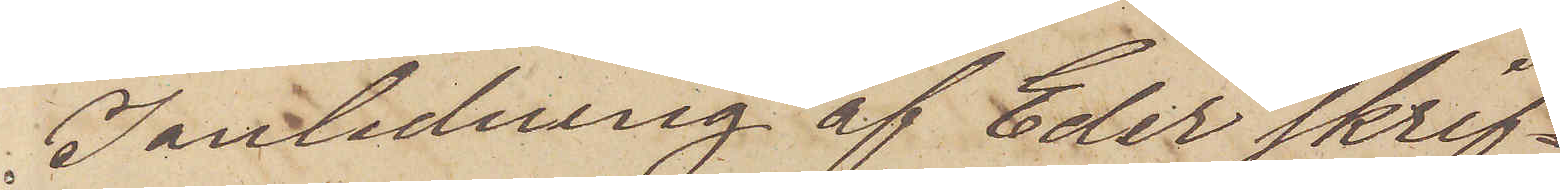I anledning af Eder skrif¬
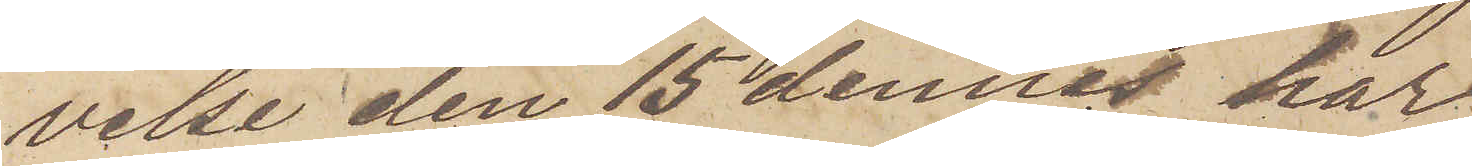velse den 15 dennes har
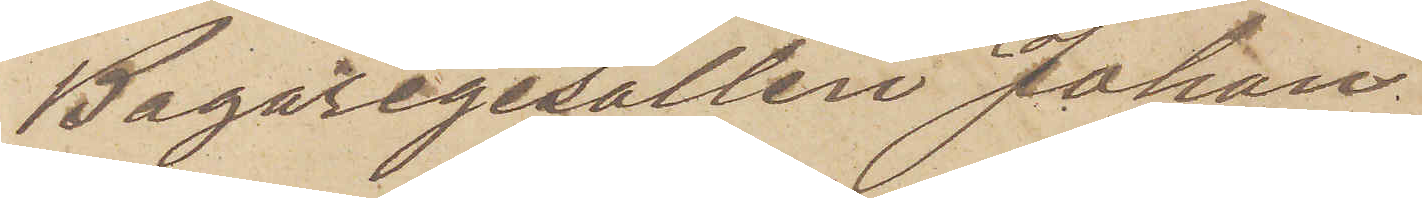Bagaregesällen Johan
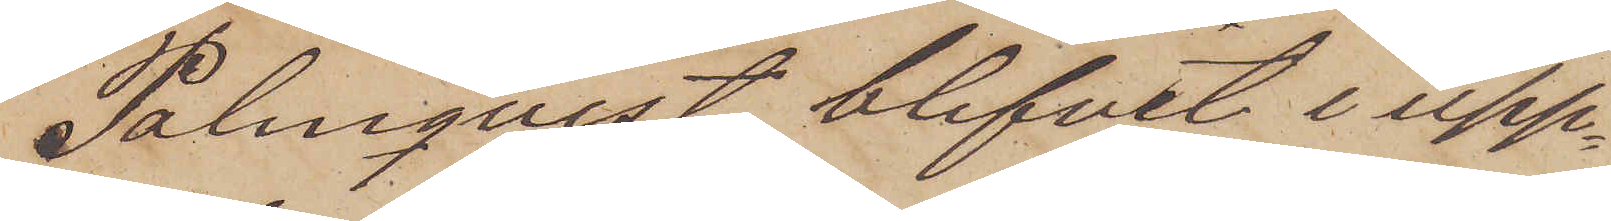Palmqvist blifvit i upp¬
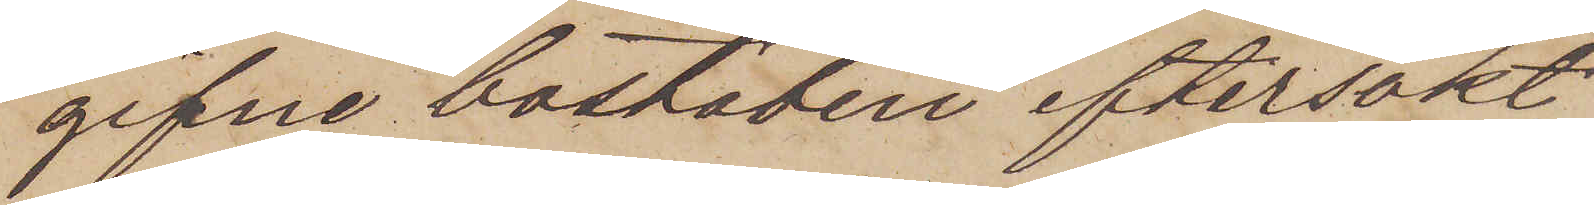gifne bostaden eftersökt
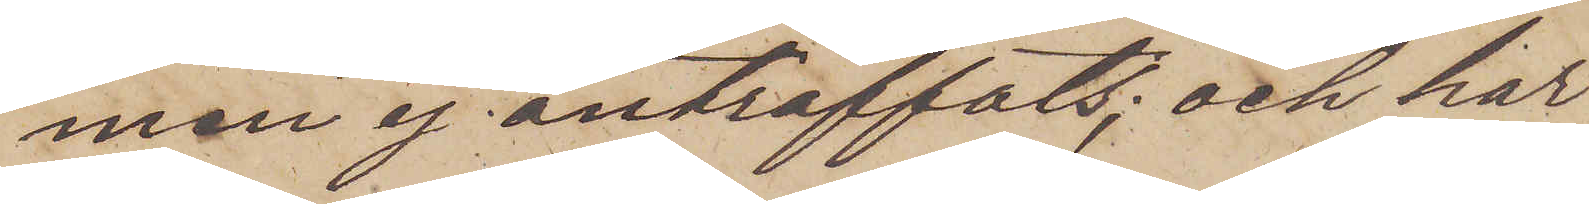men ej anträffats; och har
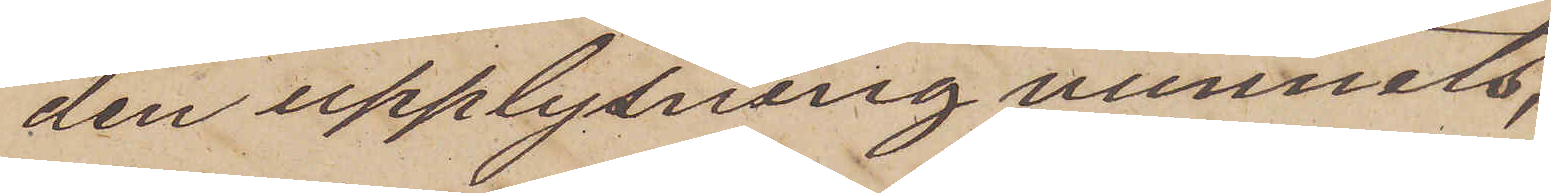den upplysning vunnits,
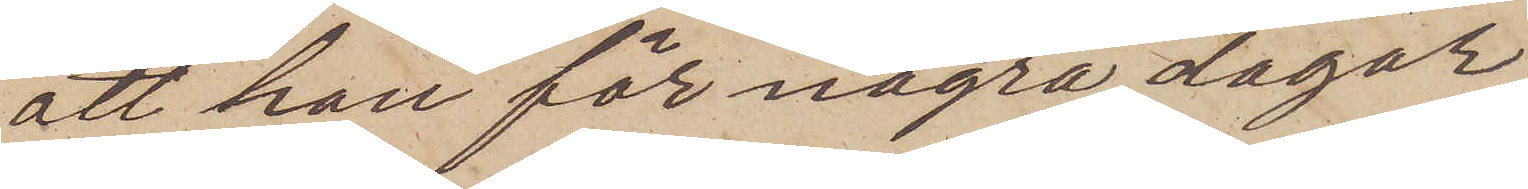att han för några dagar
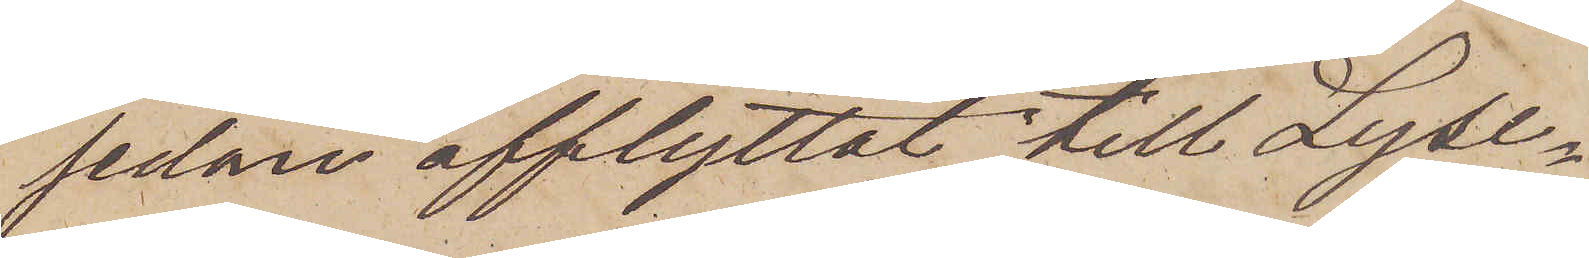sedan afflyttat till Lyse¬
